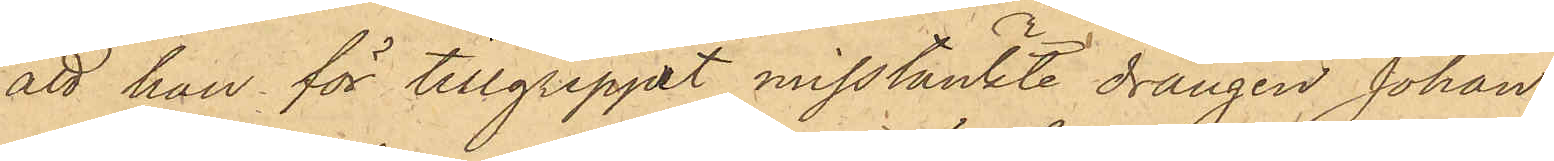att han för tillgreppet misstänkte drängen Johan
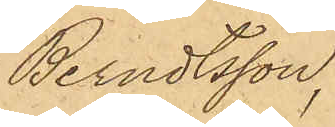Berndtsson,
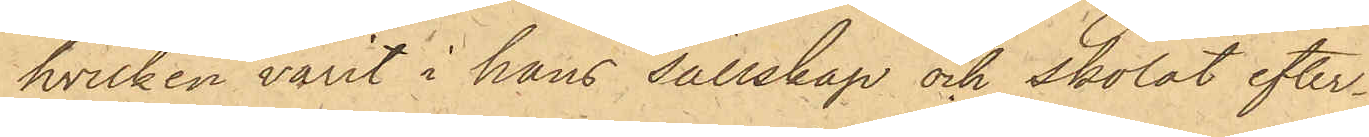hvilken varit i hans sällskap och skolat efter¬
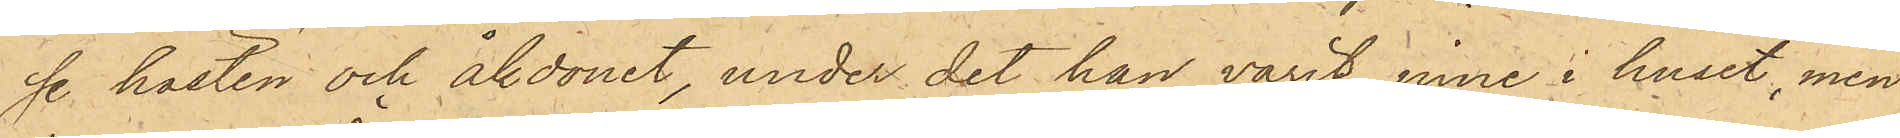se hästen och åkdonet, under det han varit inne i huset, men
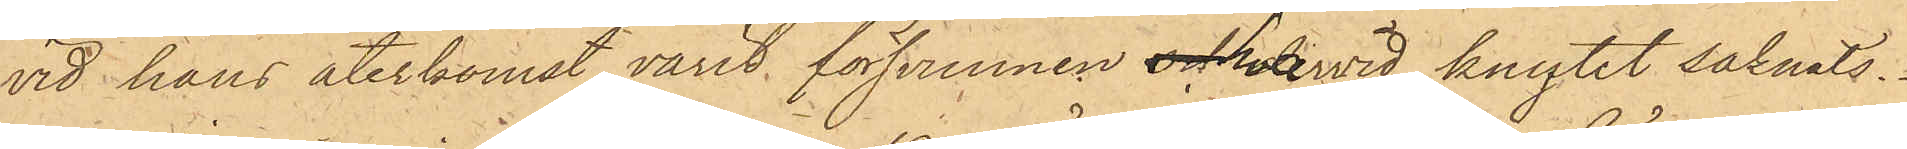vid hans återkomst varit försvunnen och hvarvid knytet saknats.
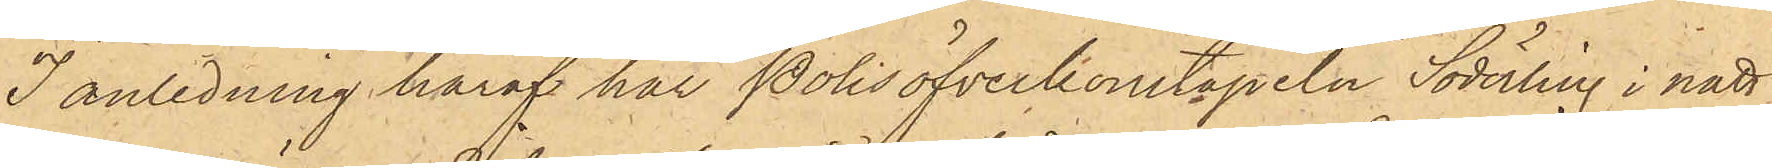I anledning häraf har Polisöfverkonstapeln Söderling i natt
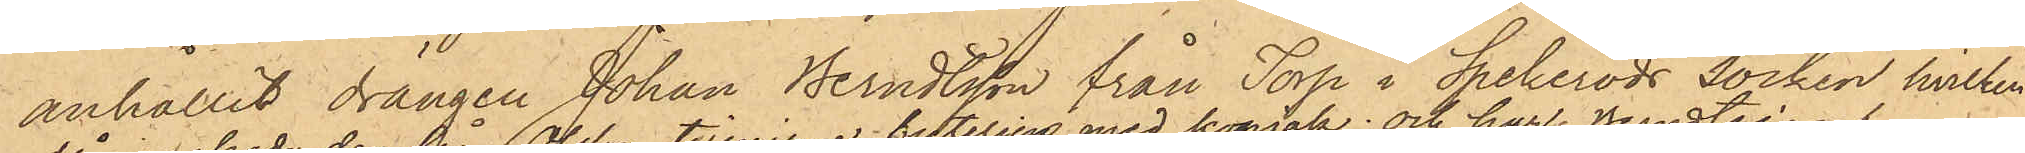anhållit drängen Johan Berndtsson från Torp i Spekeröds Socken, hvilken
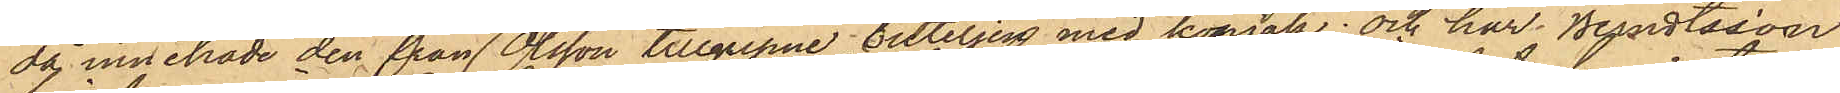då innehade den från Olsson tillgripne buteljen med konjak; och har Berndtsson
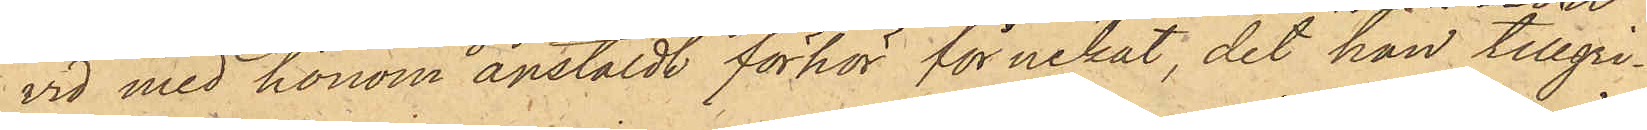vid med honom anstäldt förhör förnekat, det han tillgri¬
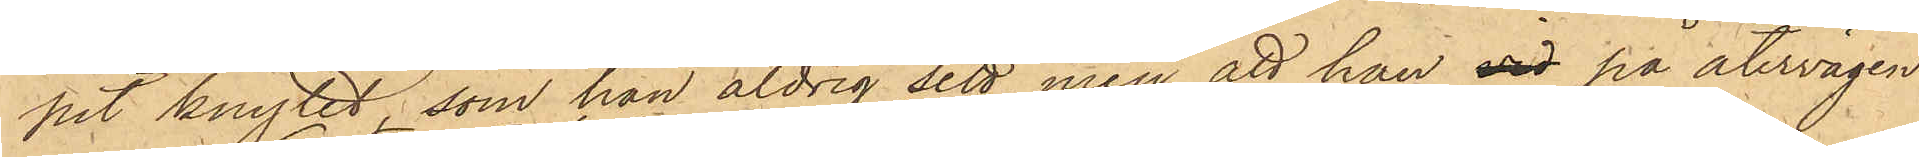pit knytet, som han aldrig sett, men att han vid på återvägen
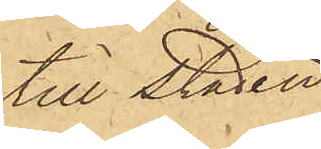till staden.
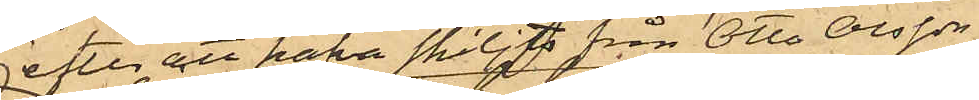efter att hafva skiljts från Otto Olsson
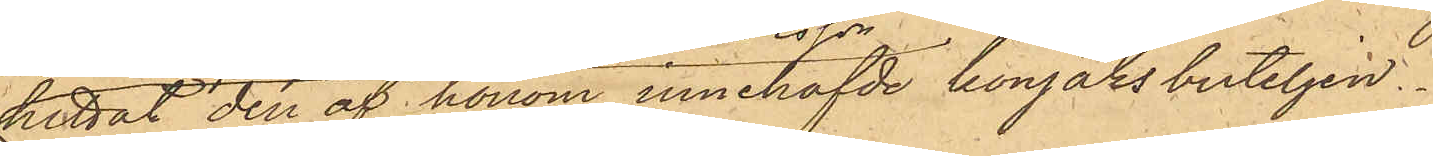hittat den af honom innehafde konjaksbuteljen.
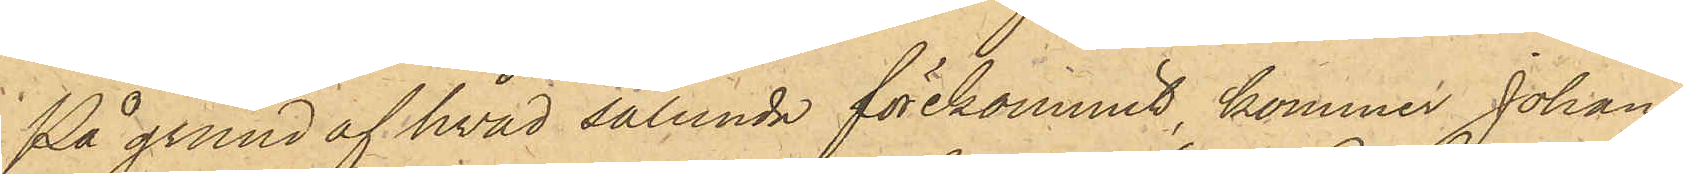På grund af hvad sålunda förekommit kommer Johan
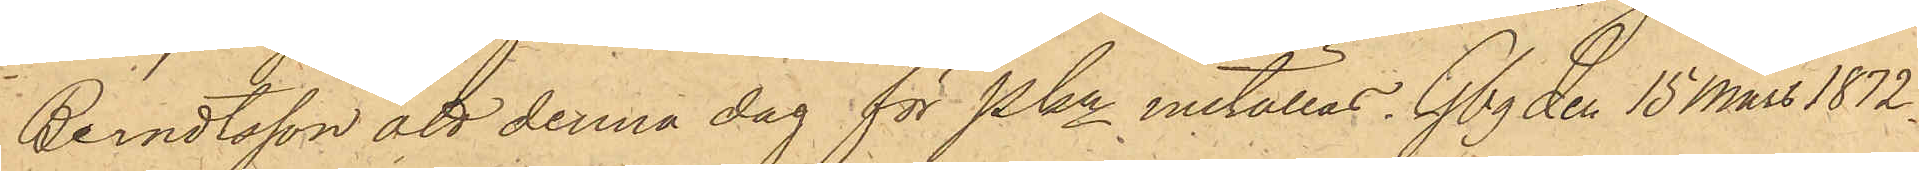Berndtsson att denna dag för Pkn inställas. Gbg den 15 Mars 1872.
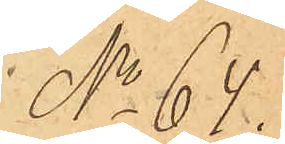No 64.
